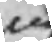ång
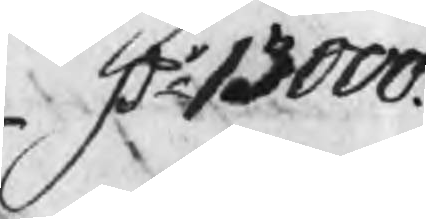Dr 13000.
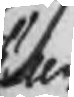then
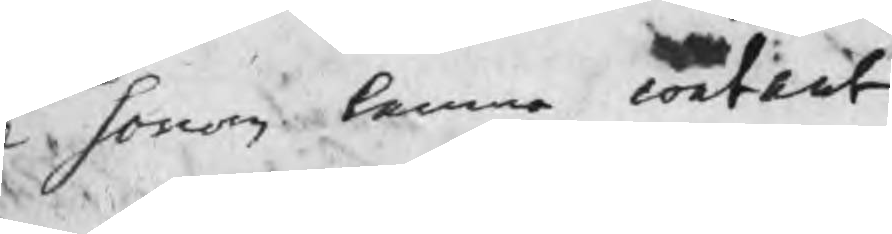il honom lemna contant
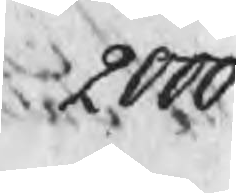2000.
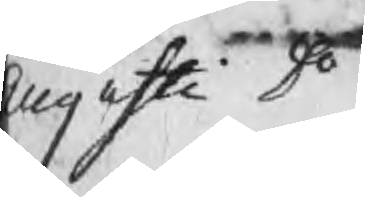Augusti Do
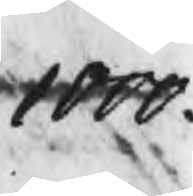1000.
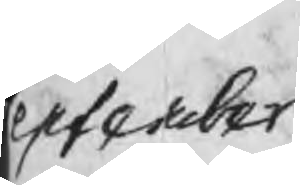September
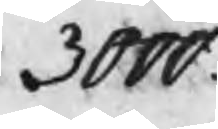3000.
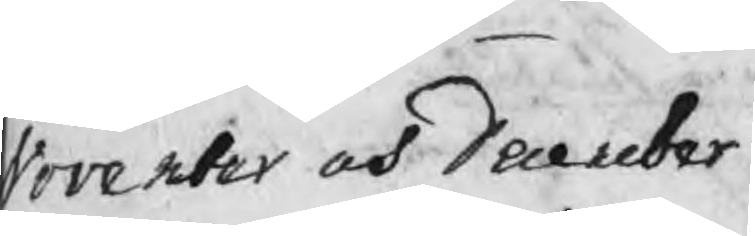November och December
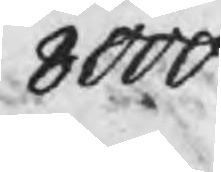8000
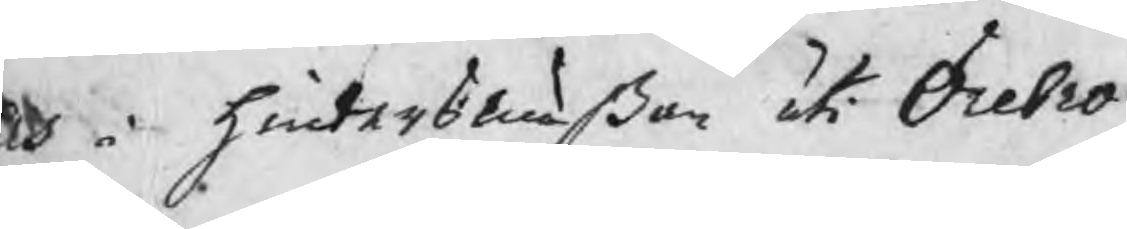Och i hindersmäßan i Örebro
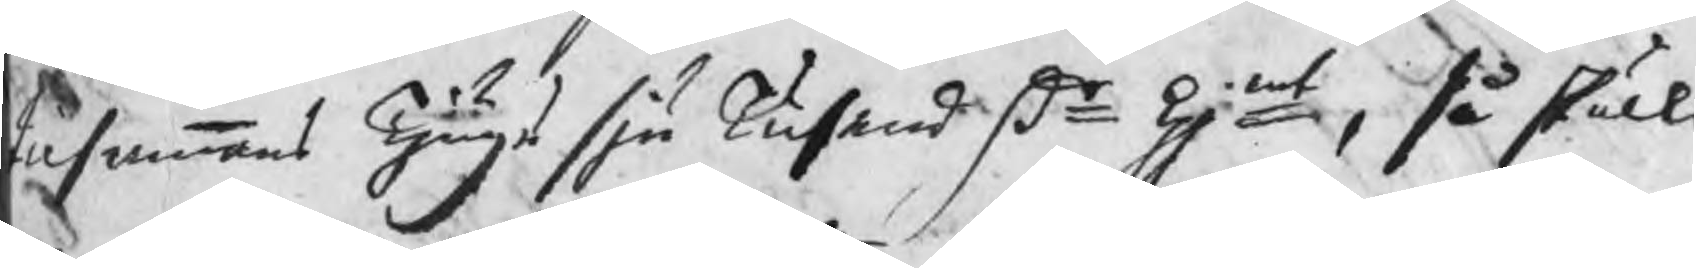tilsammans Tjugu sju Tusend Dr kpmt, så skulle
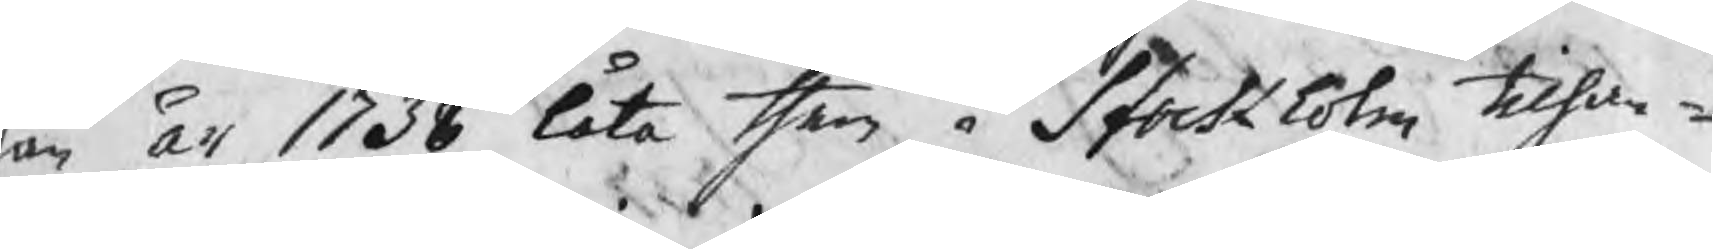han år 1738 låta then i Stockholm tilhan¬
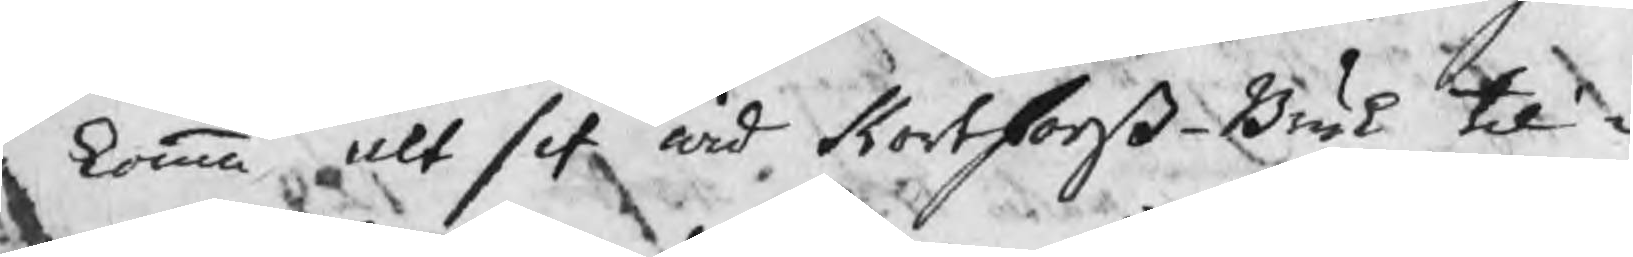da komma alt sit wid Kortforß Bruk til¬
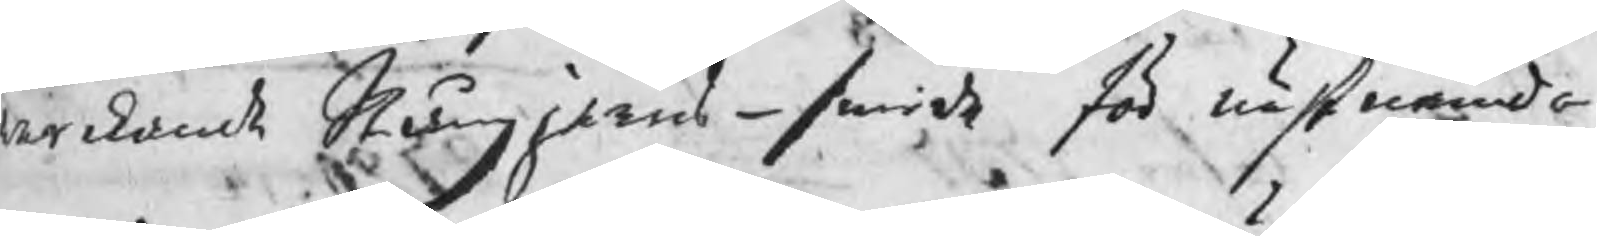werkandt Stångjerns-smide för nästnämda
